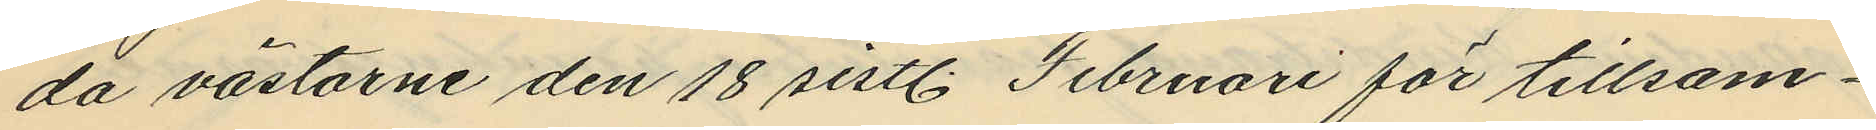da västarne den 18 sistl. Februari för tillsam¬
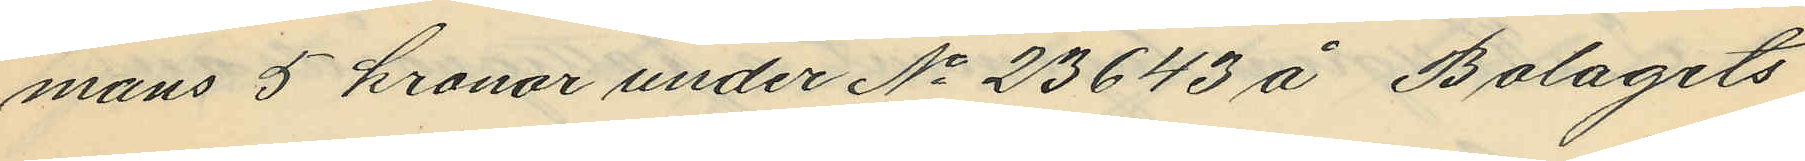mans 5 kronor under No 23643 å Bolagets
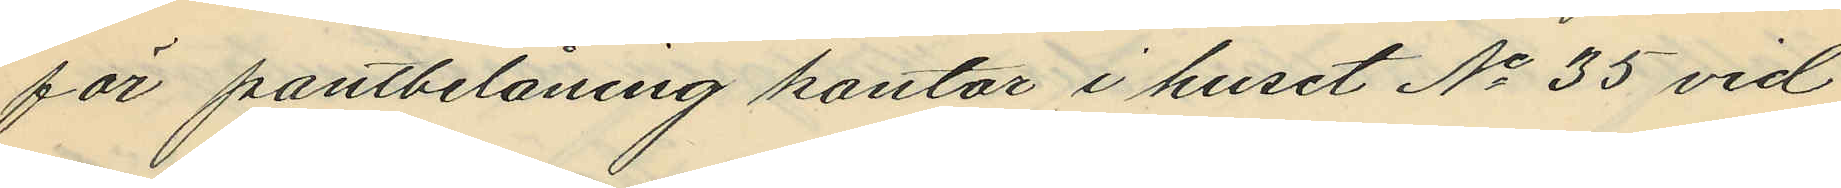för pantbelåning kontor i huset No 35 vid
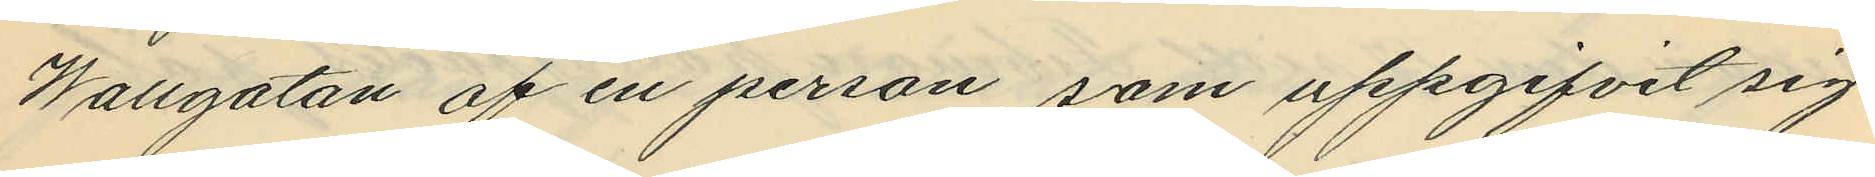Wallgatan af en person, som uppgifvit sig
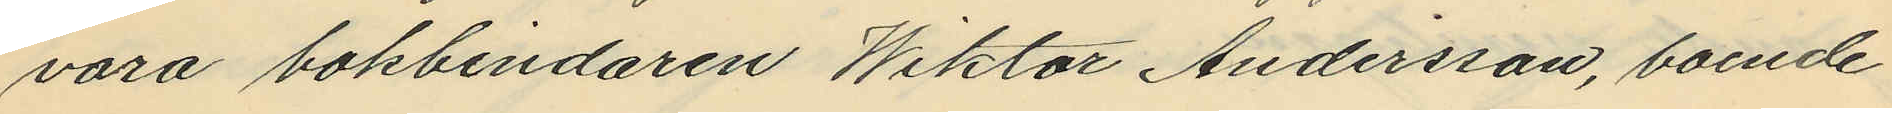vara bokbindaren Wiktor Andersson, boende
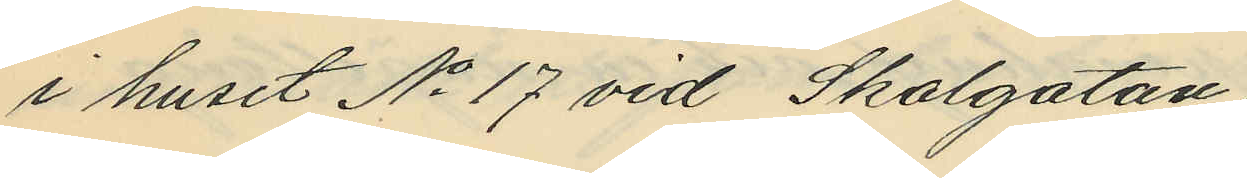i huset No 17 vid Skolgatan;
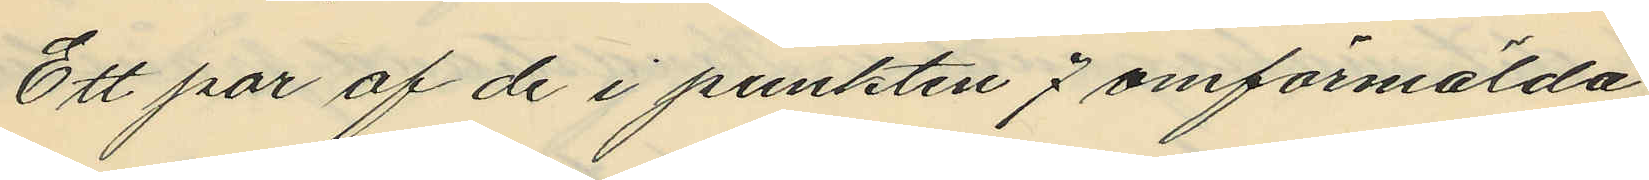Ett par af de i punkten 7 omförmälda
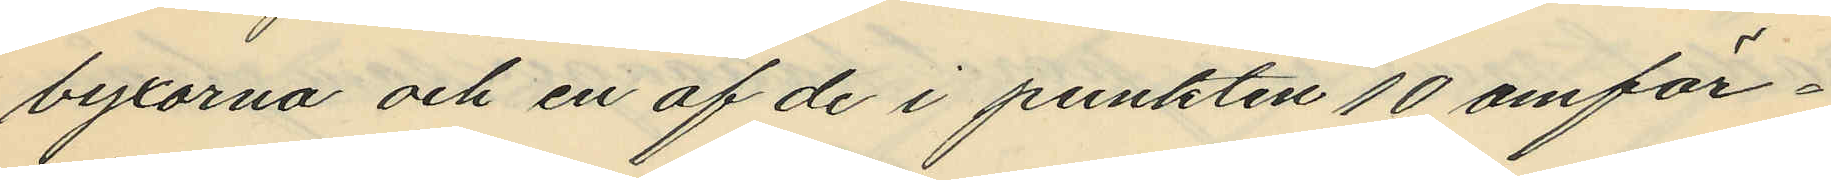byxorna och en af de i punkten 10 omför¬
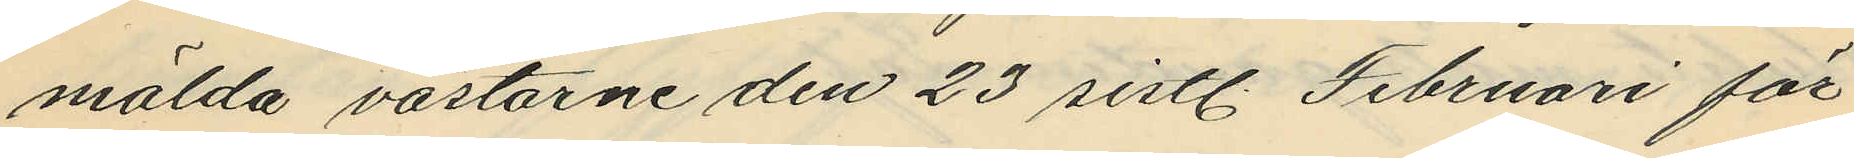mälda västarne den 23 sistl. Februari för
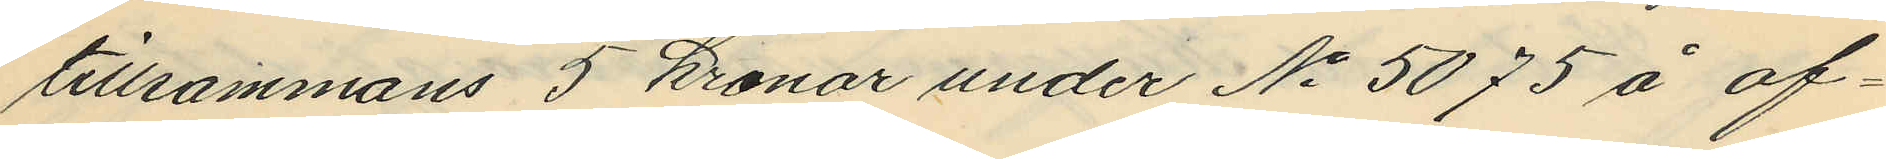tillsammans 5 kronor under No 5075 å of¬
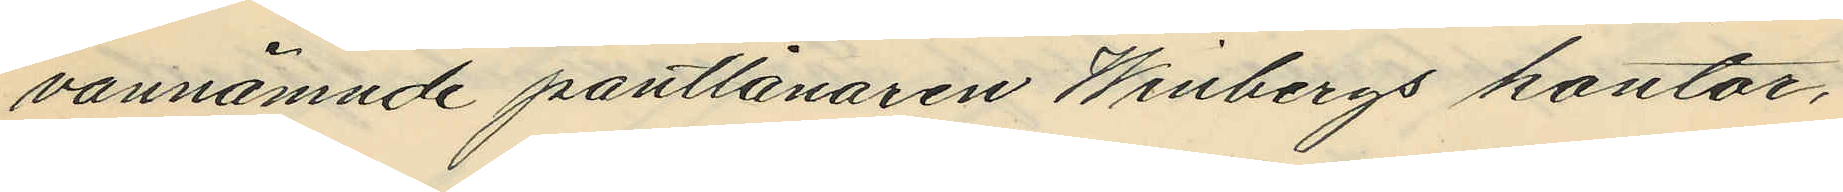vannämnde pantlånaren Winbergs kontor,
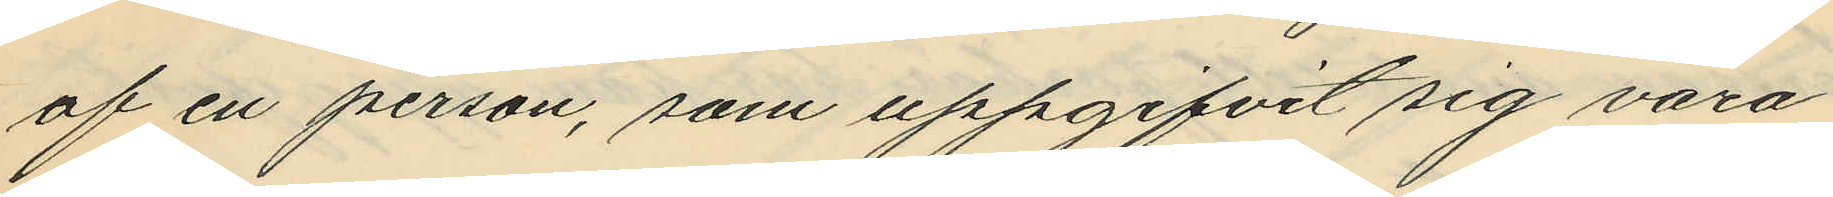af en person, som uppgifvit sig vara
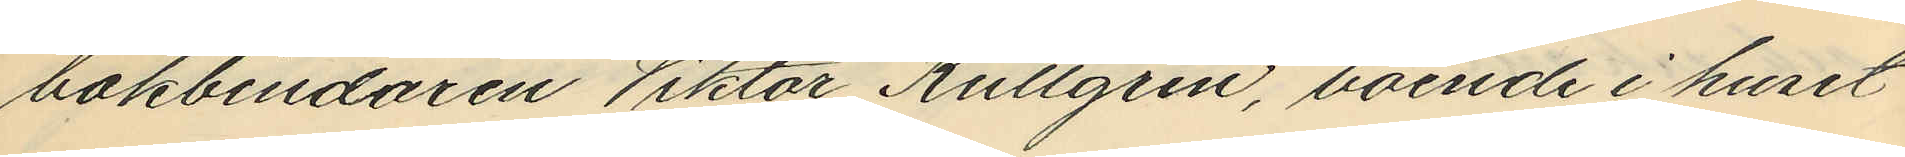bokbindaren Viktor Kullgren, boende i huset
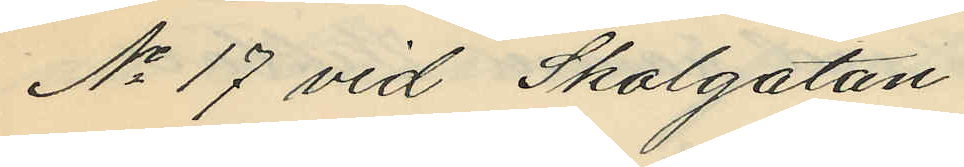No 17 vid Skolgatan.
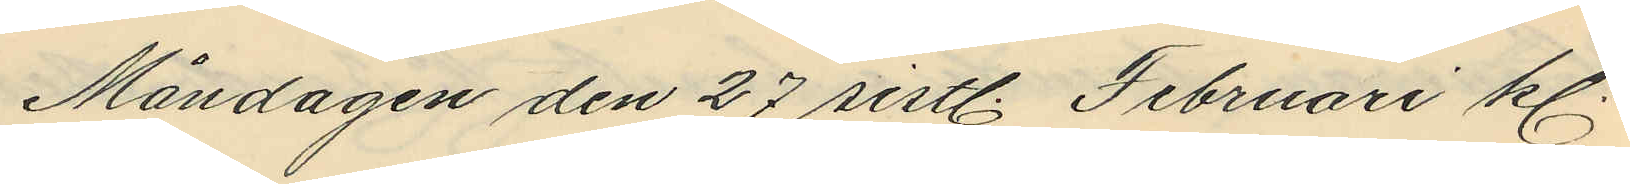Måndagen den 27 sistl. Februari kl
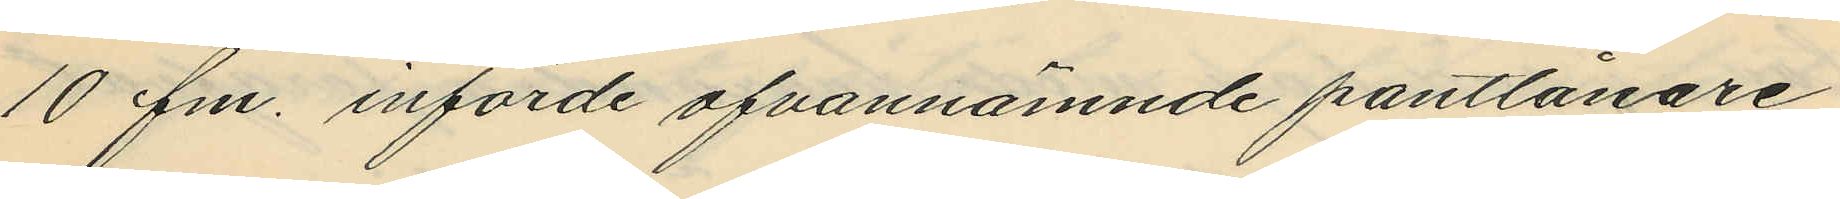10 fm. införde ofvannämnde pantlånare
